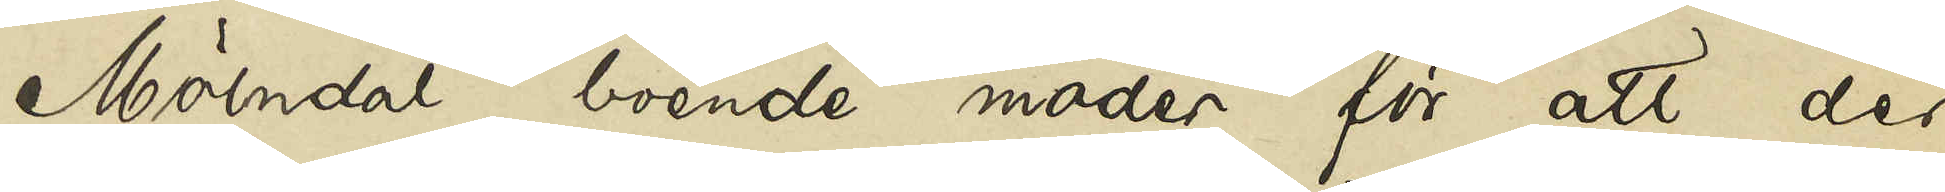Mölndal boende moder för att der
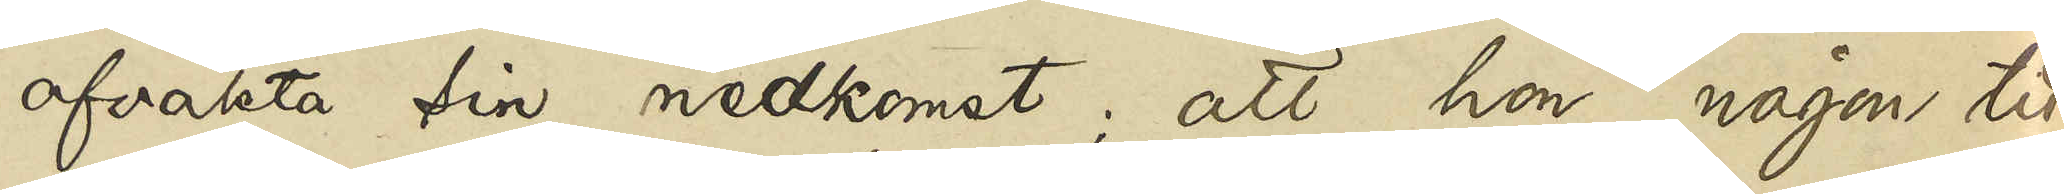afvakta sin nedkomst; att hon någon tid
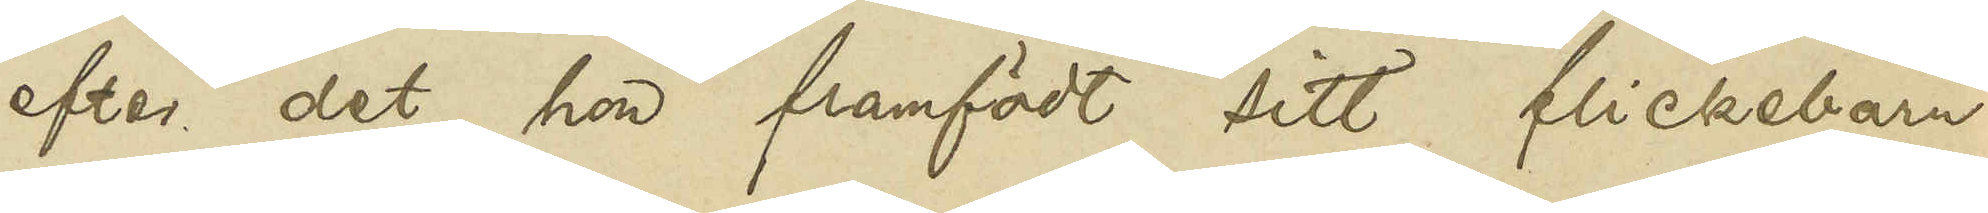efter det hon framfödt sitt flickebarn
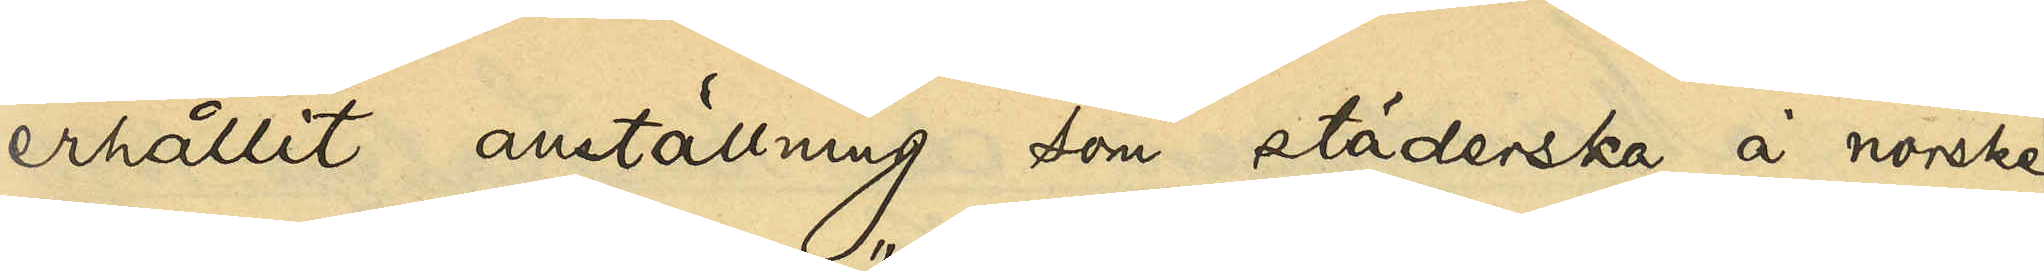erhållit anställning som städerska å norske
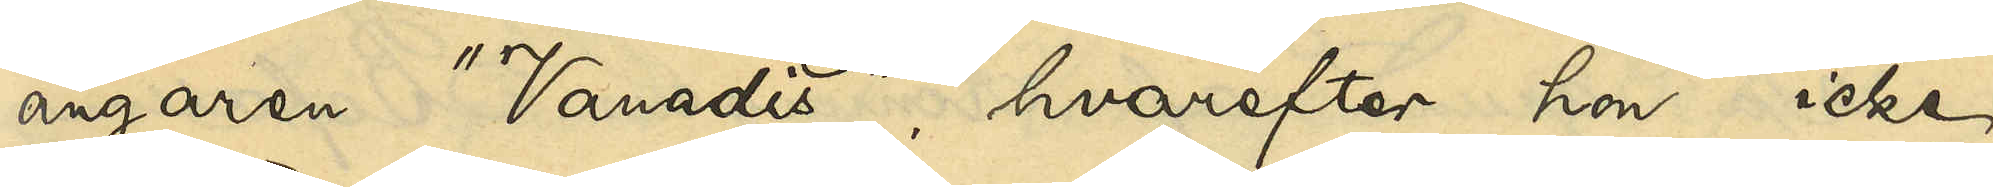ångaren "Vanadis", hvarefter hon icke
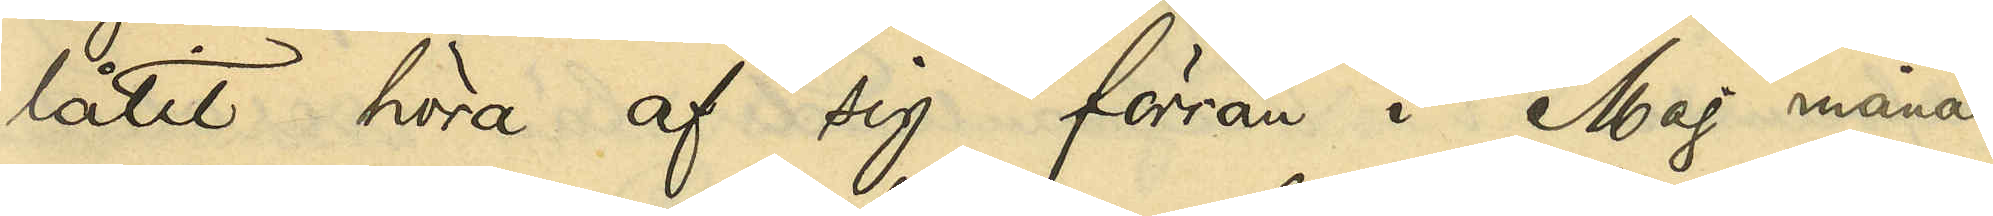låtit höra af sig förrän i Maj månad
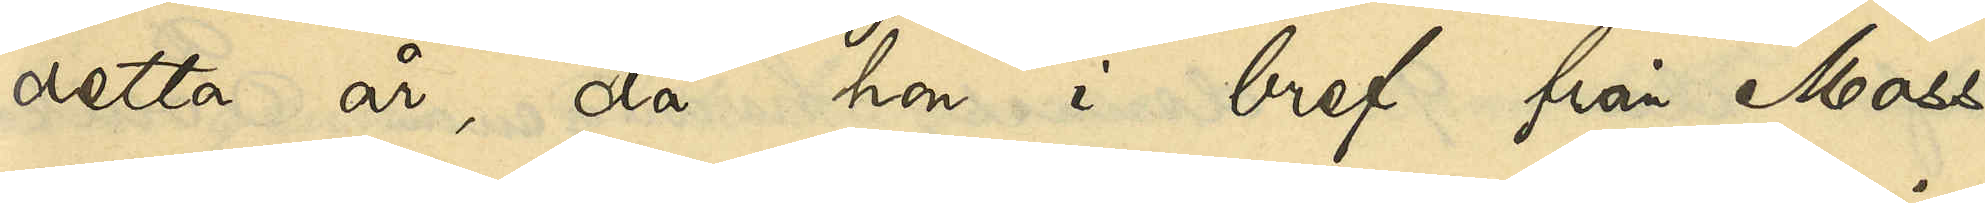detta år, då hon i bref från Moss
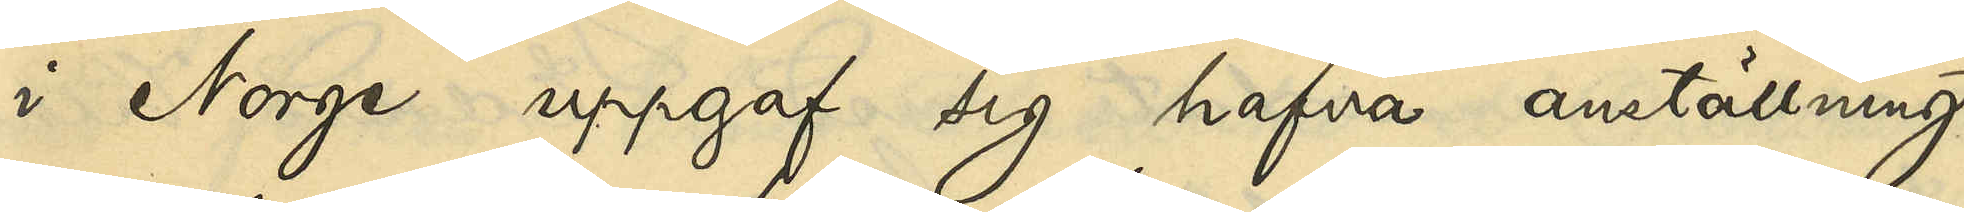i Norge uppgaf sig hafva anställning
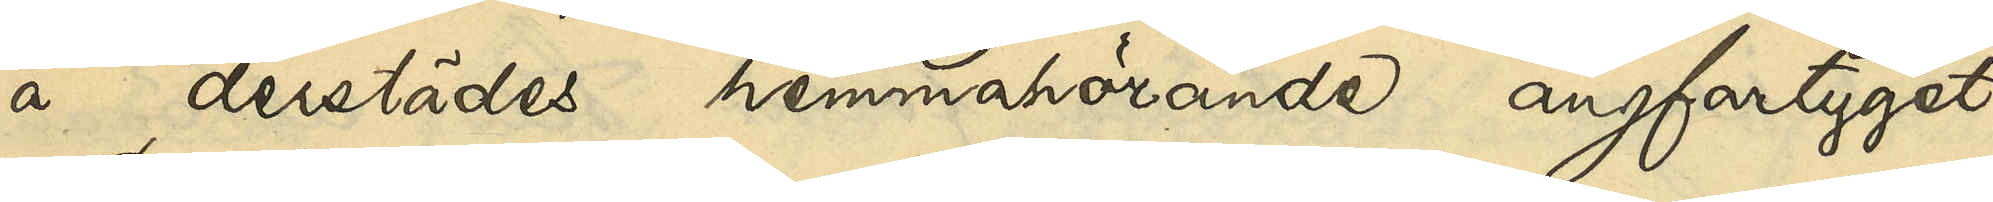å derstädes hemmahörande ångfartyget
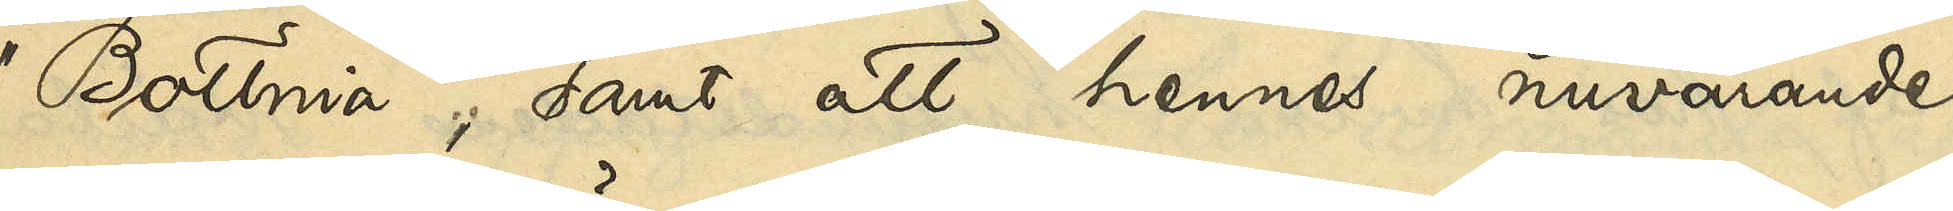"Bottnia"; samt att hennes nuvarande
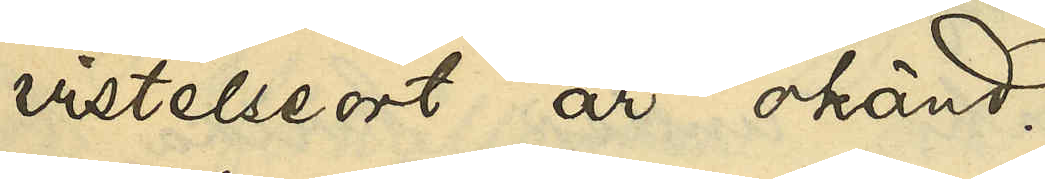vistelseort är okänd.
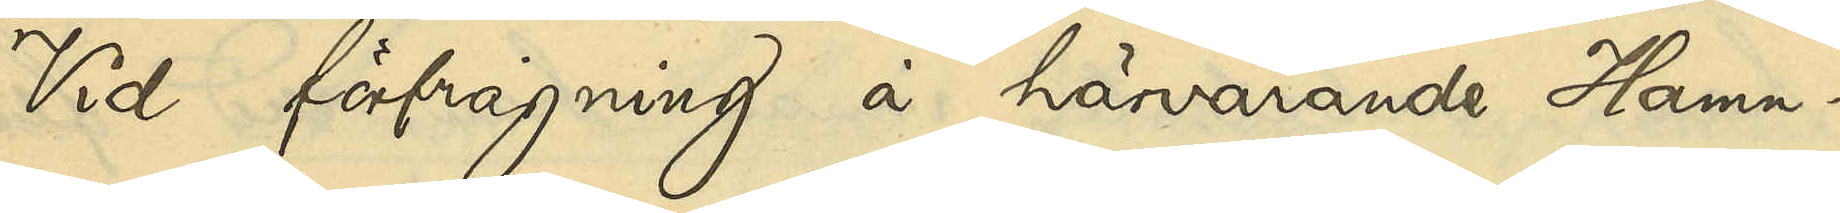Vid förfrågning å härvarande Hamn¬
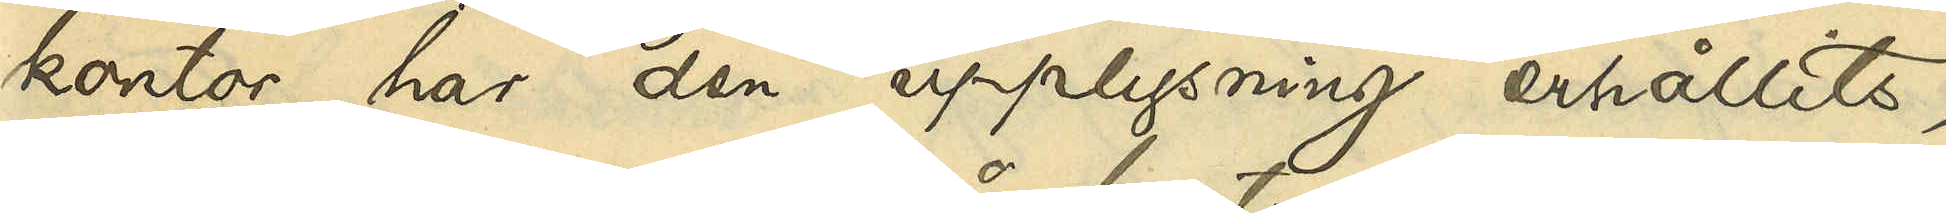kontor har den upplysning erhållits,
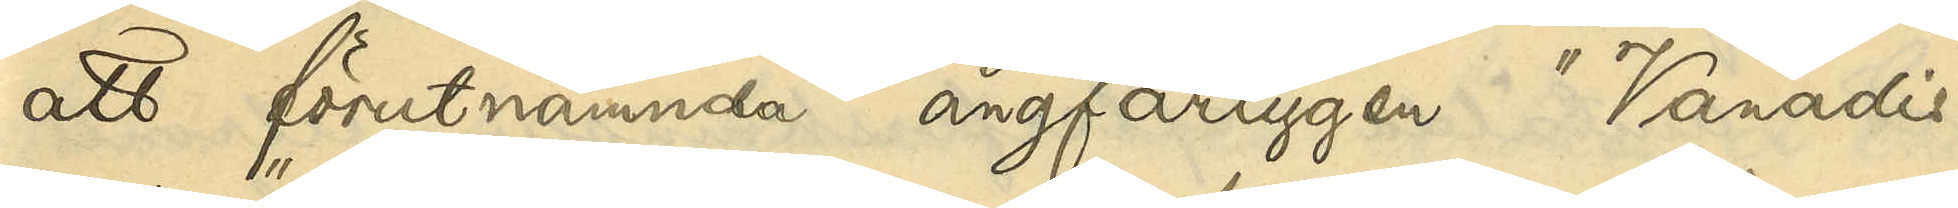att förutnämnda ångfartygen "Vanadis" 
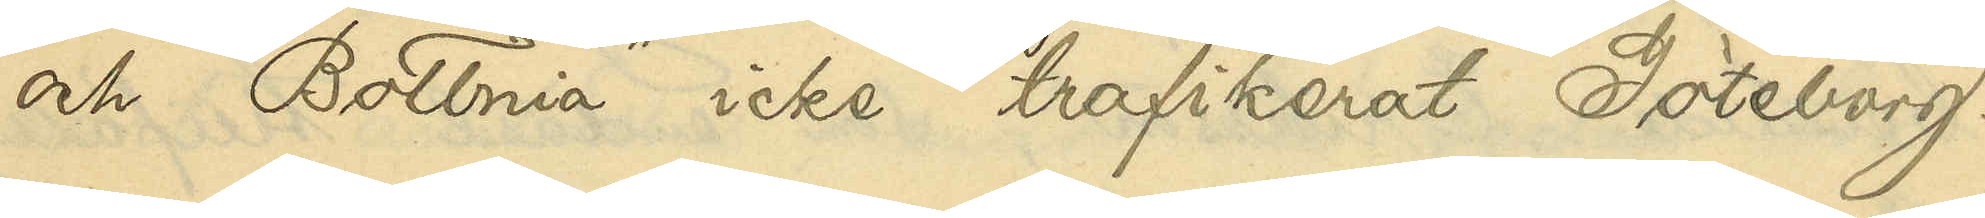och "Bottnia" icke trafikerat Göteborg.
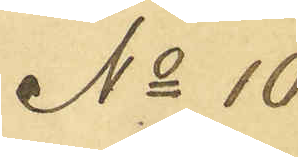No 10
